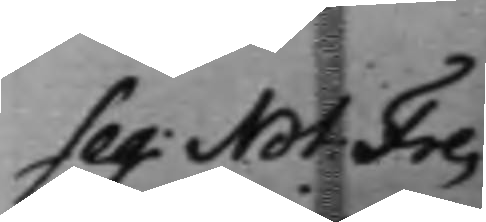Seq: Not. Fre¬
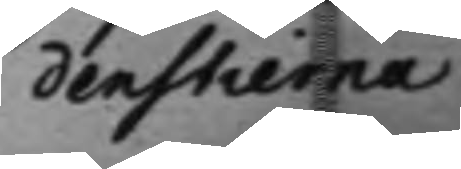denstierna
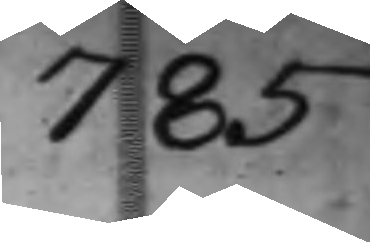785
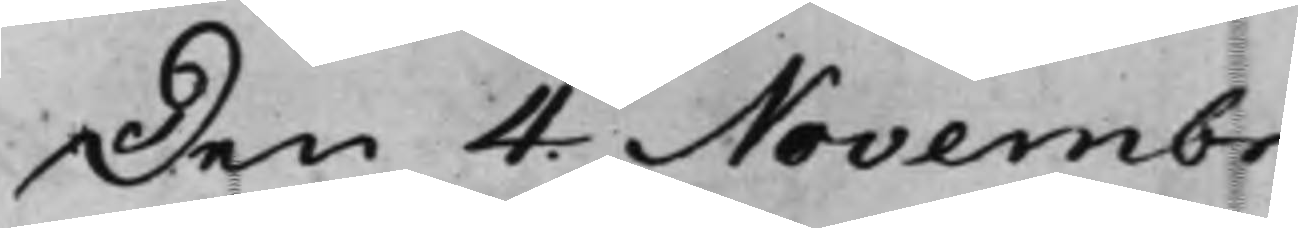Den 4 Novembr
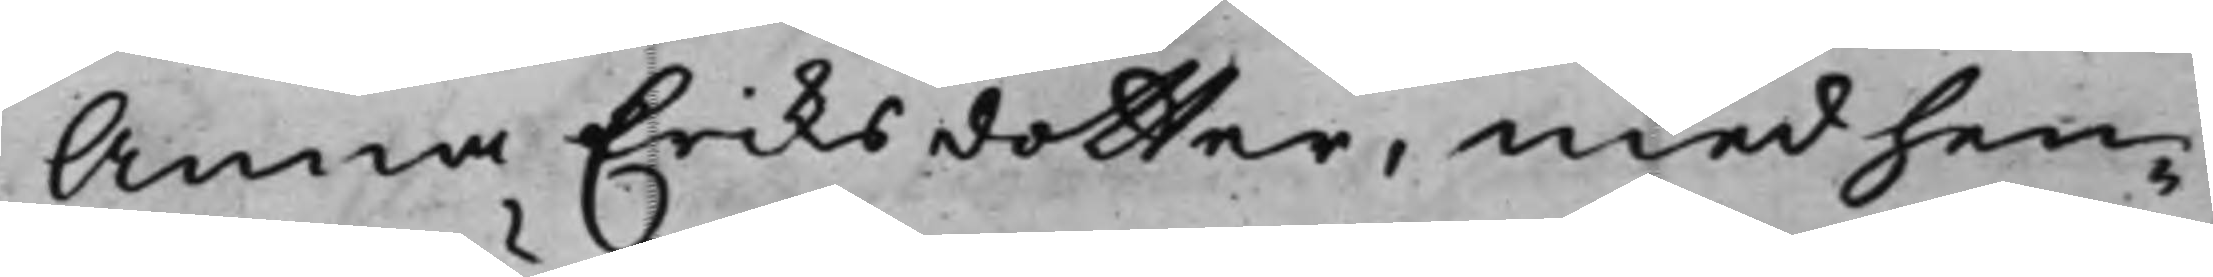Anna Eriksdotter, med hen¬
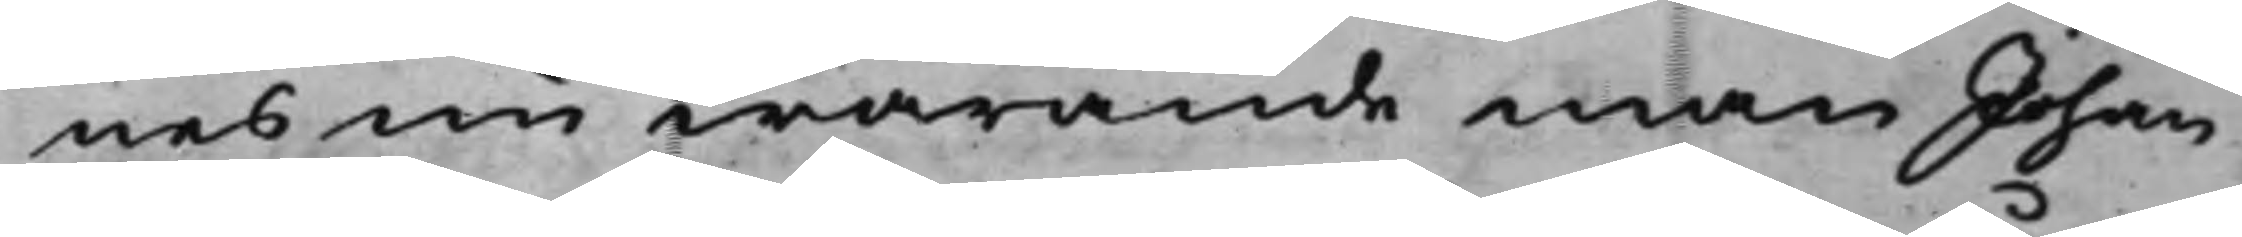nes nu warande man Johan
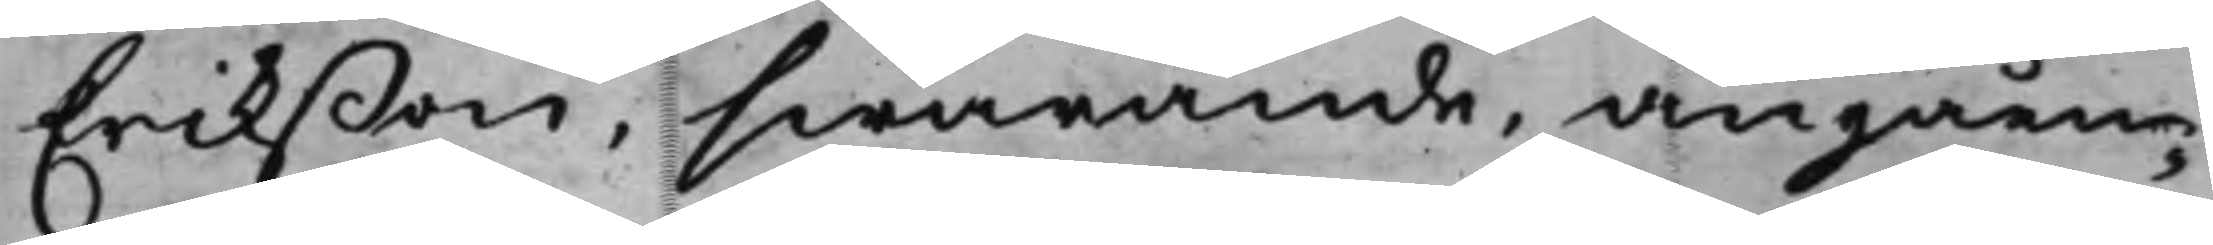Erikßon, swarande, angåen¬
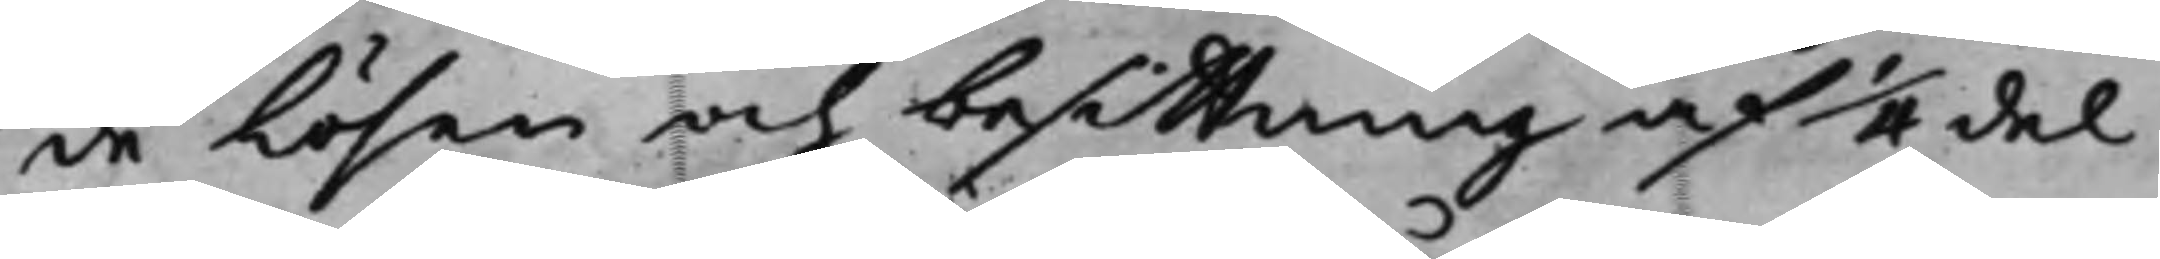de Lösen och besittning af 1/4del
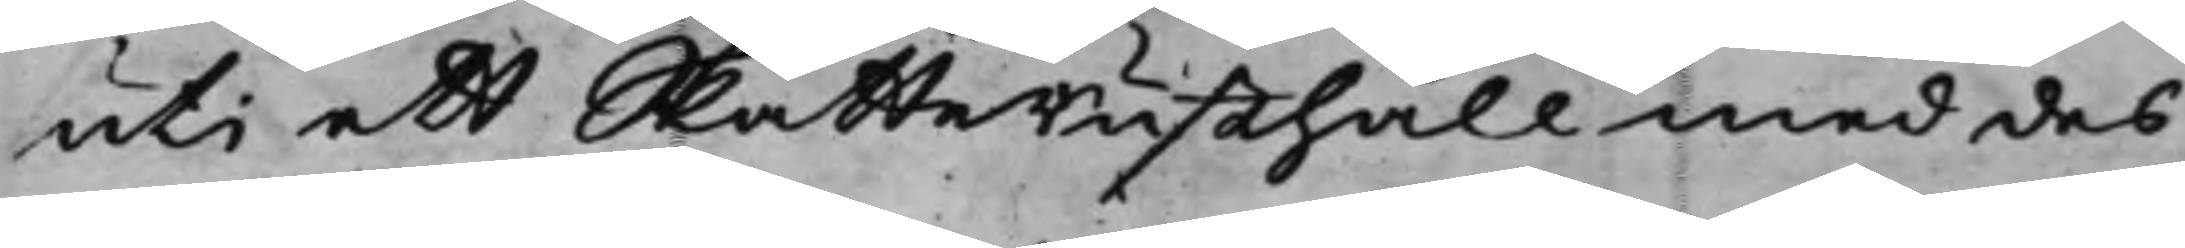uti ett SkatteRusthåll med des
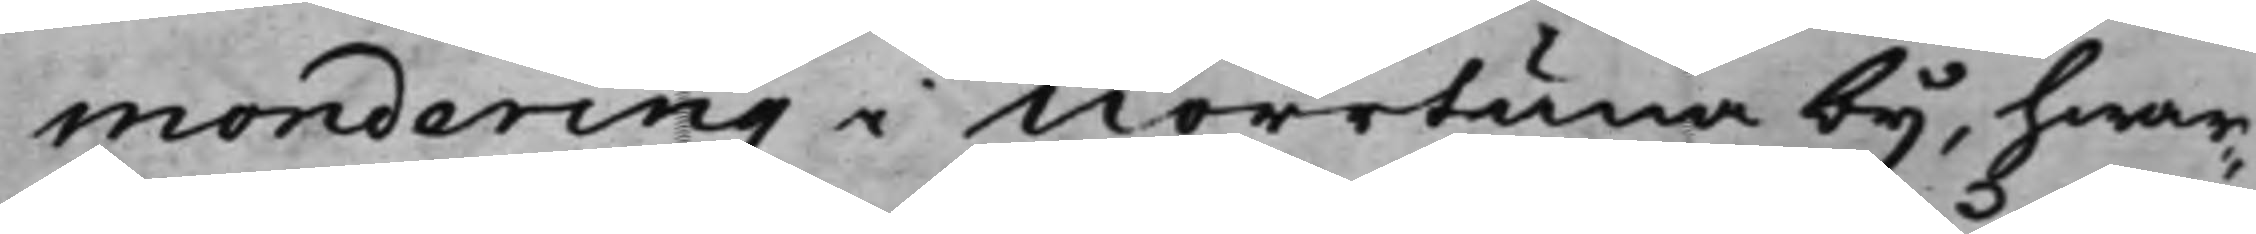mondering i Norrtuna by, hwar¬
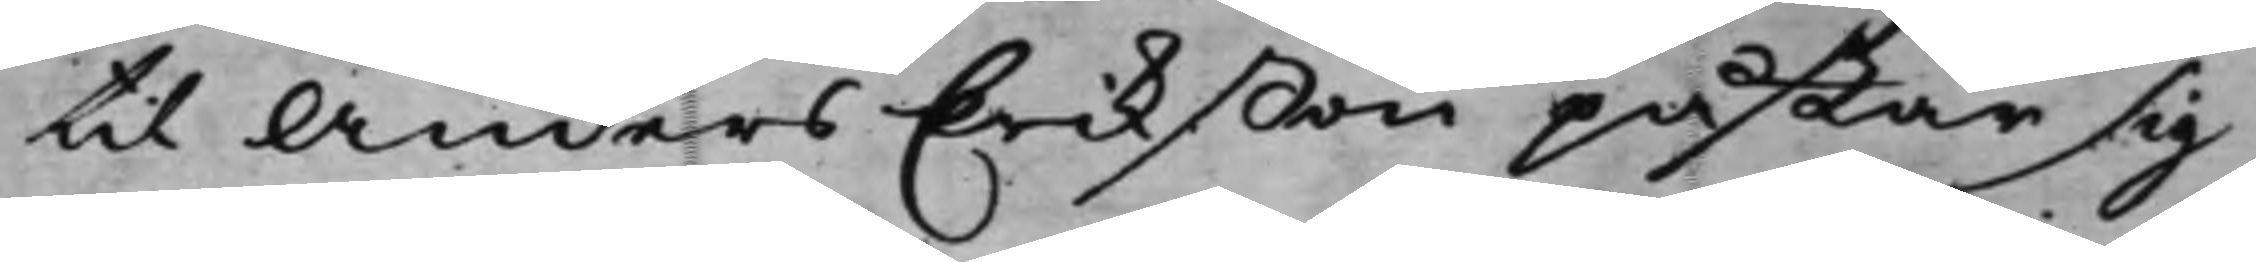til Anders Erikßon påstår sig
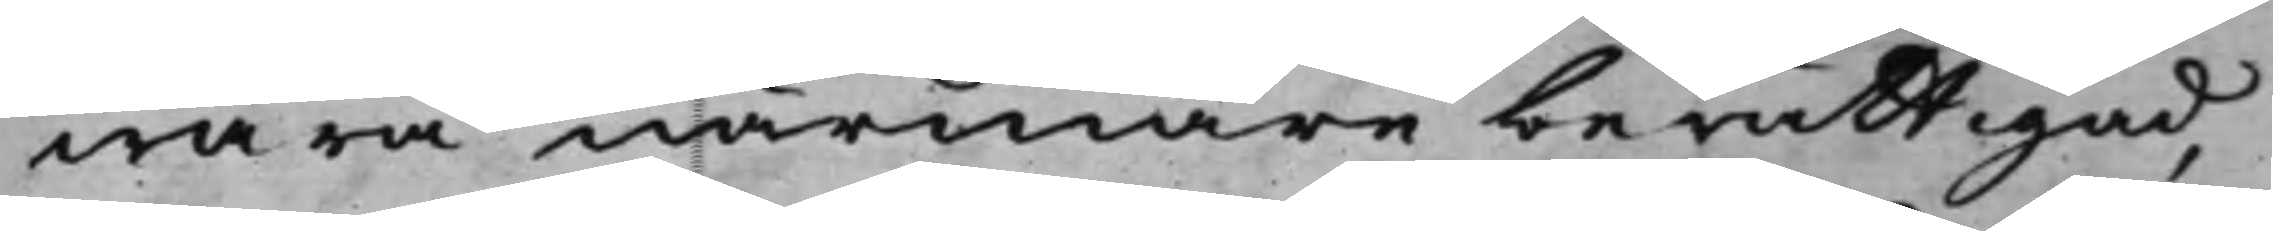wara närmare berättigad,
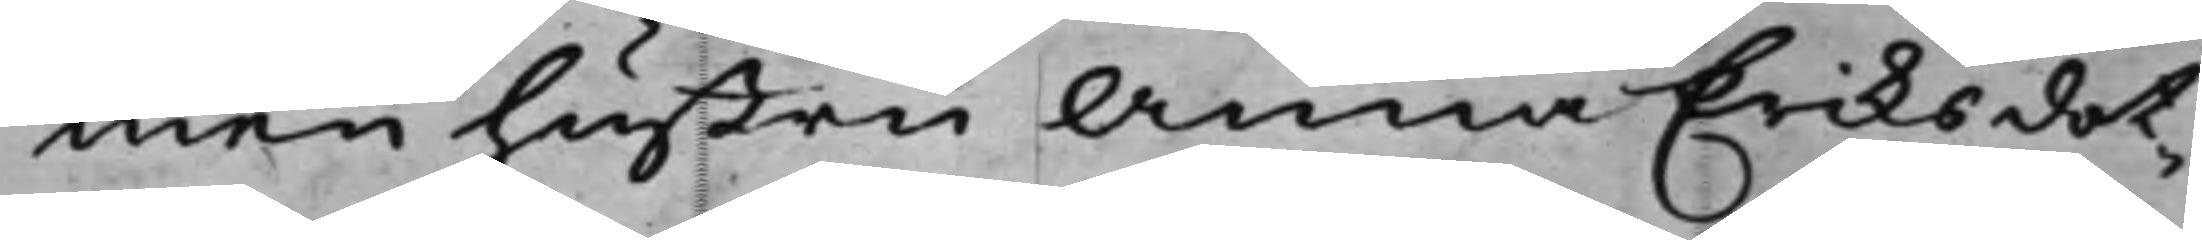men hustru Anna Eriksdot¬
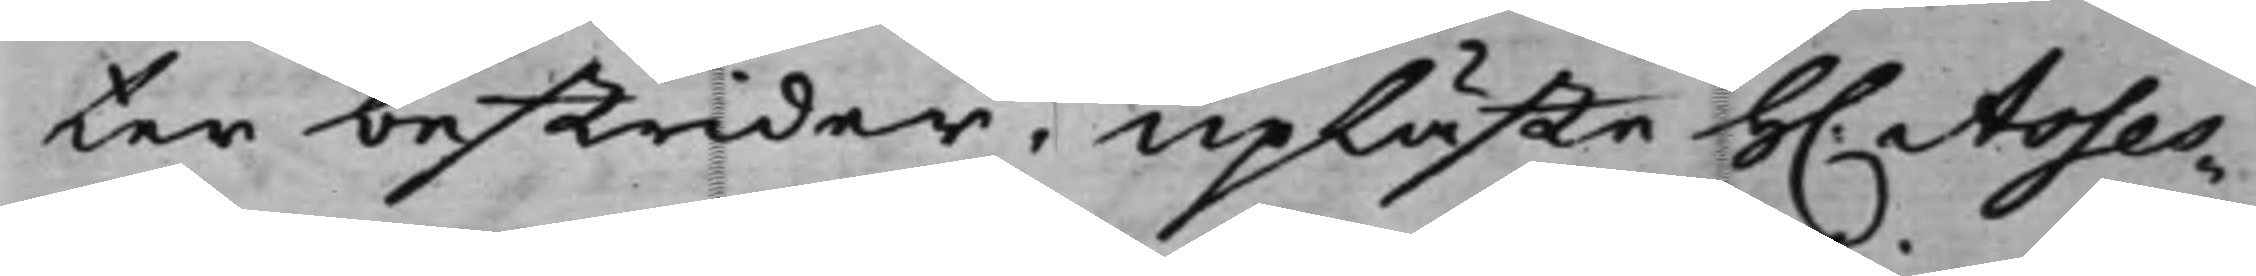ter bestrider, upläste H. Asses¬
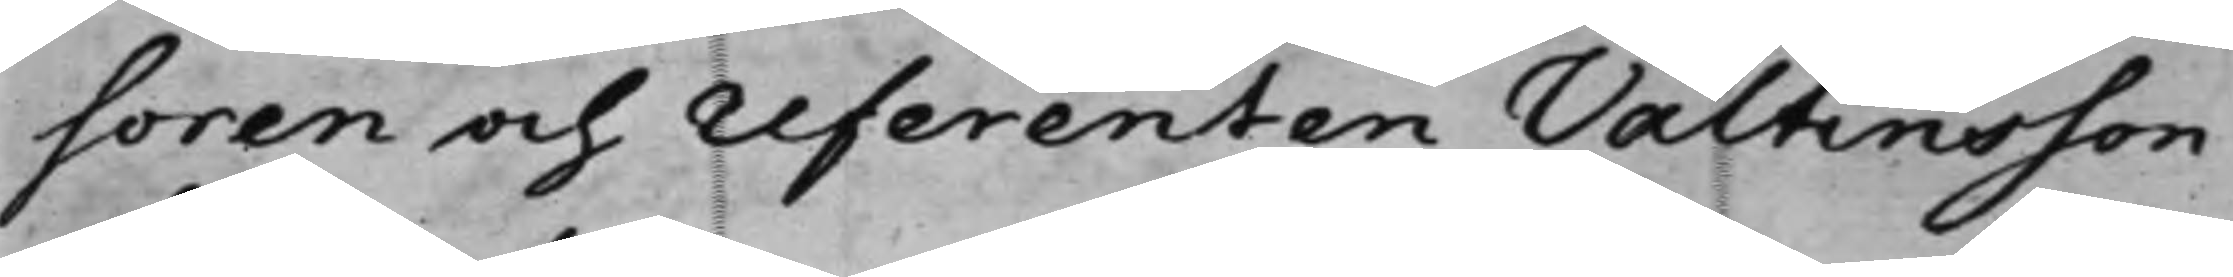soren och referenten Valtinsson
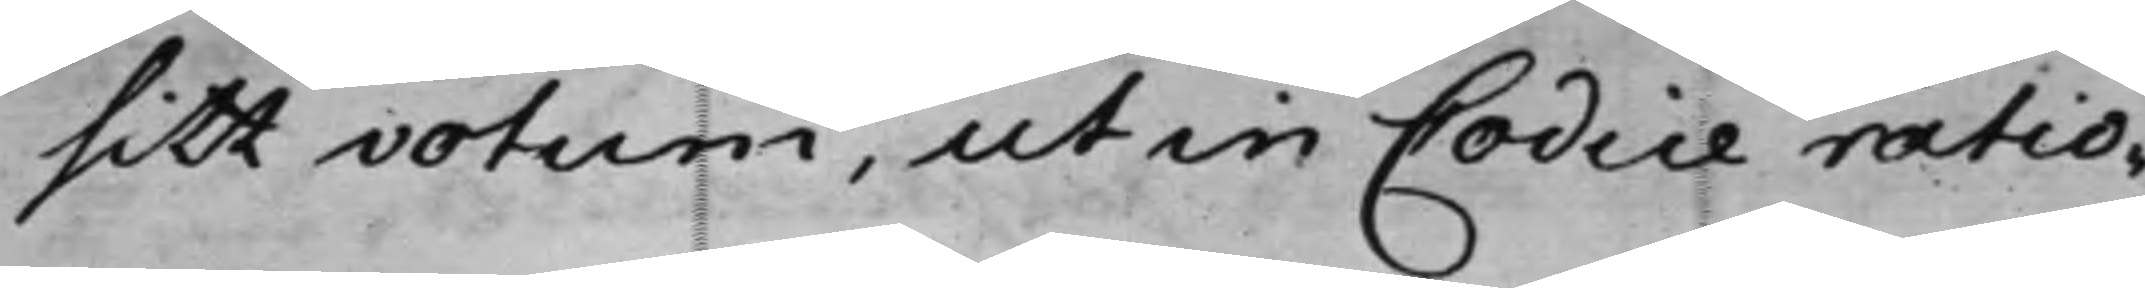sitt votum, ut in Codice ratio¬
